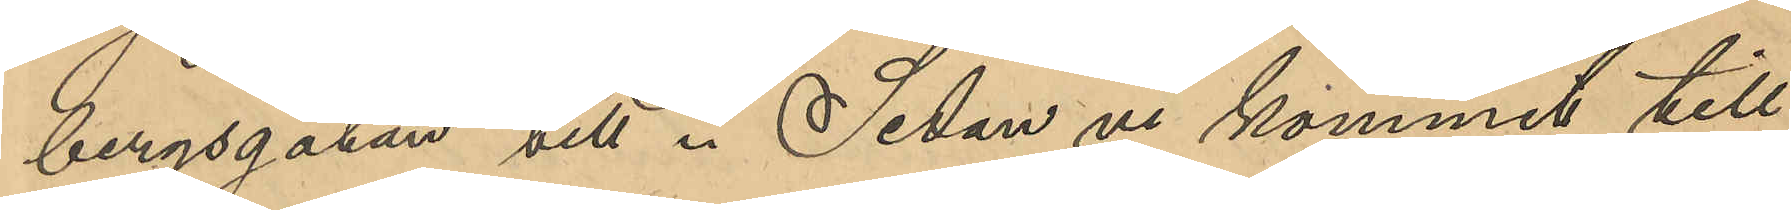bergsgatan till. Sedan vi kommit till
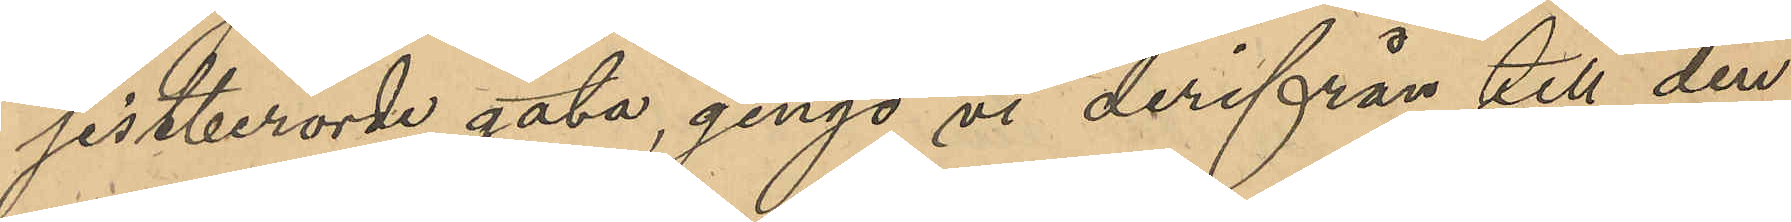sistberörde gata, gingo vi derifrån till den
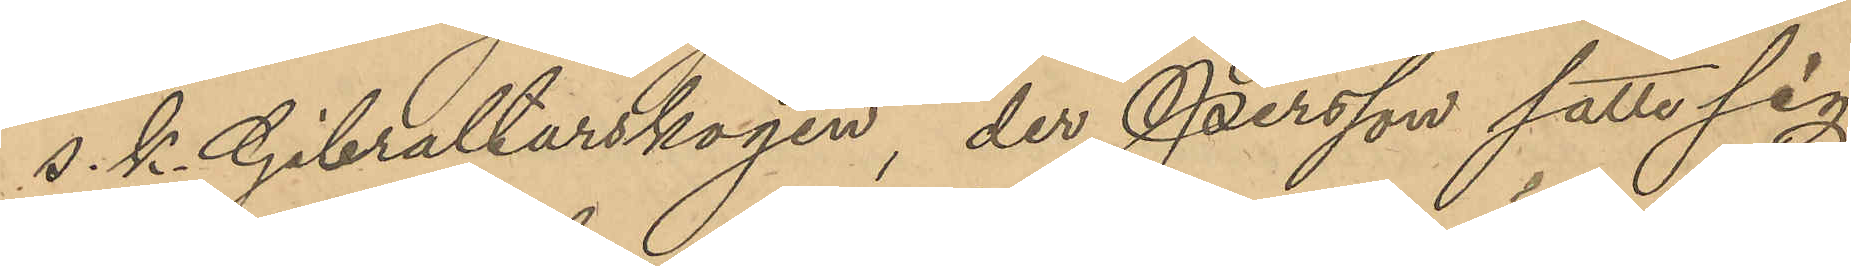s. k. Gibraltarskogen, der Persson satte sig
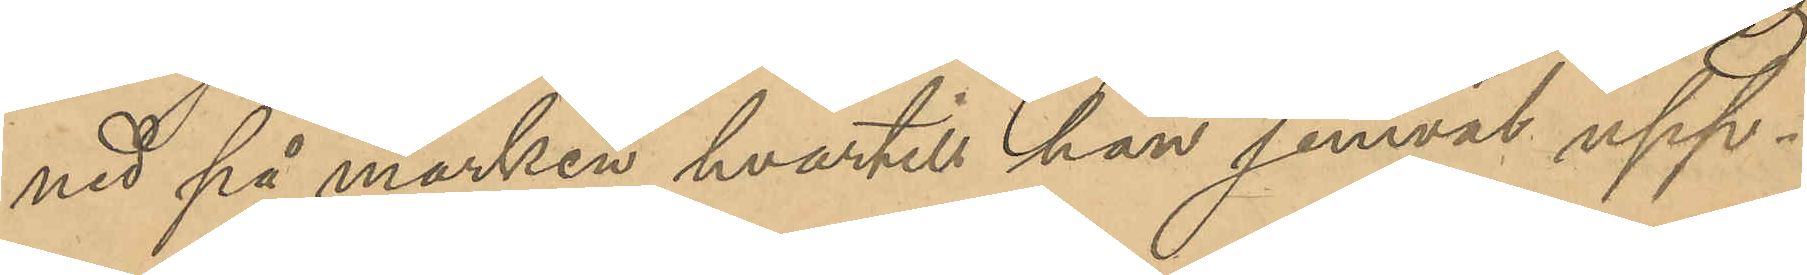ned på marken, hvartill han jemväl upp¬
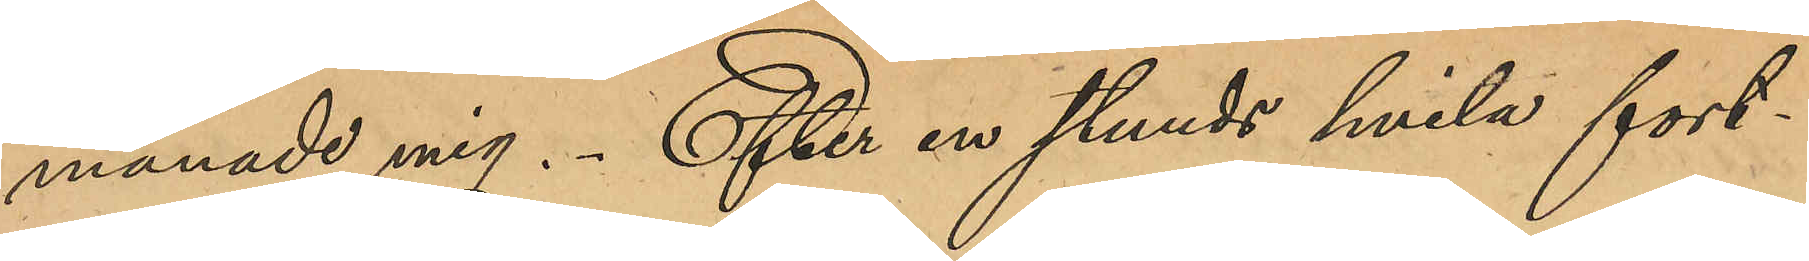manade mig. Efter en stunds hvila fort¬
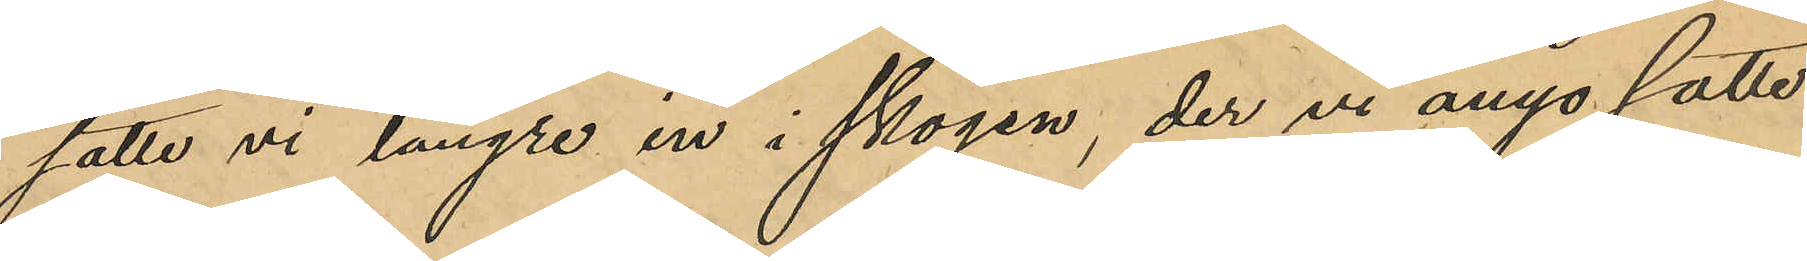satte vi längre in i skogen, der vi ånyo satte
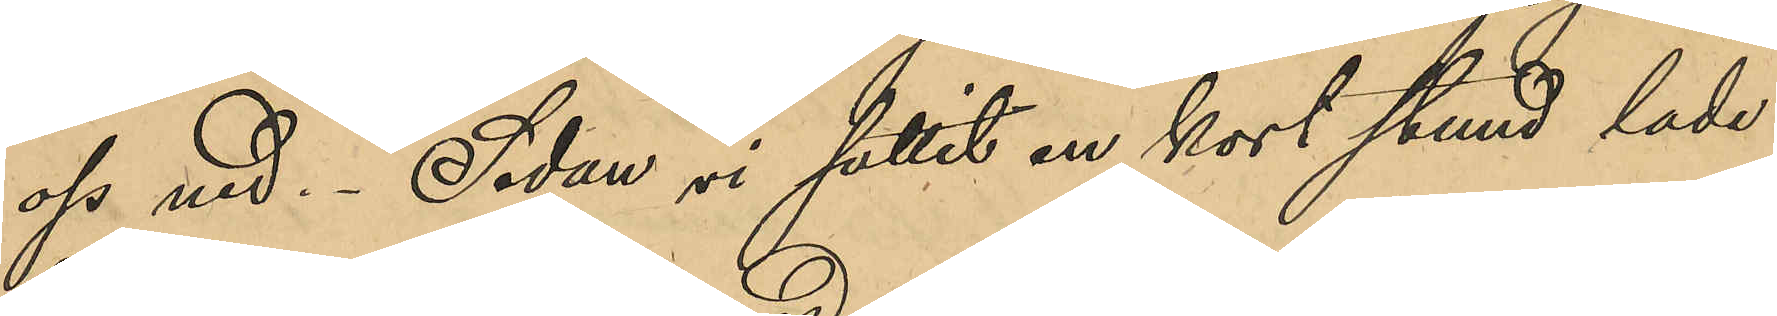oss ned. Sedan vi suttit en kort stund lade
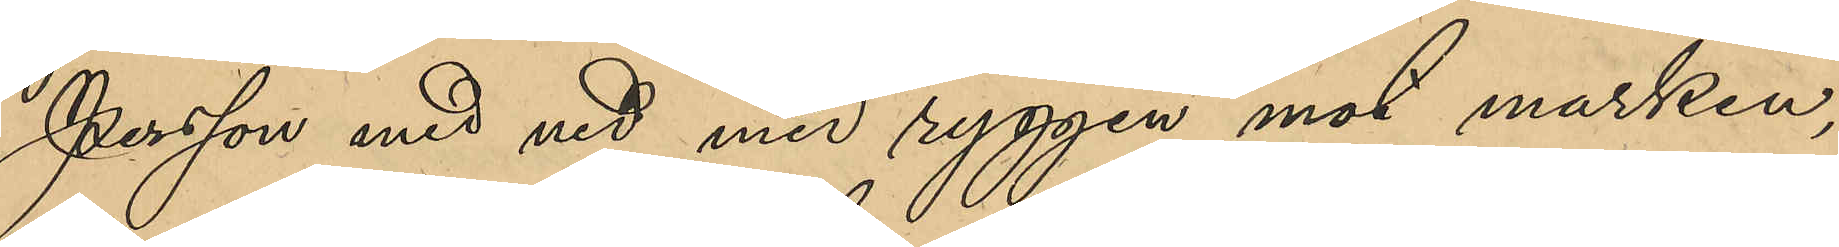Persson med ned med ryggen mot marken,
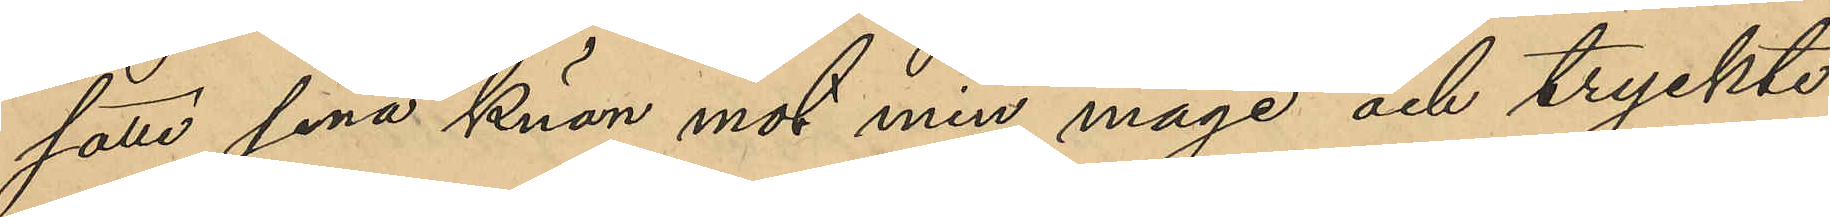satte sina knän mot min mage och tryckte
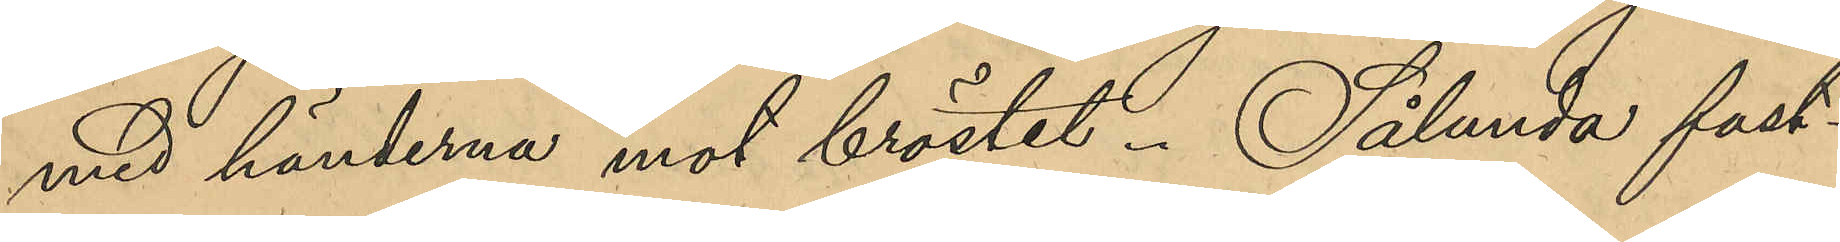med händerna mot bröstet. Sålunda fast¬
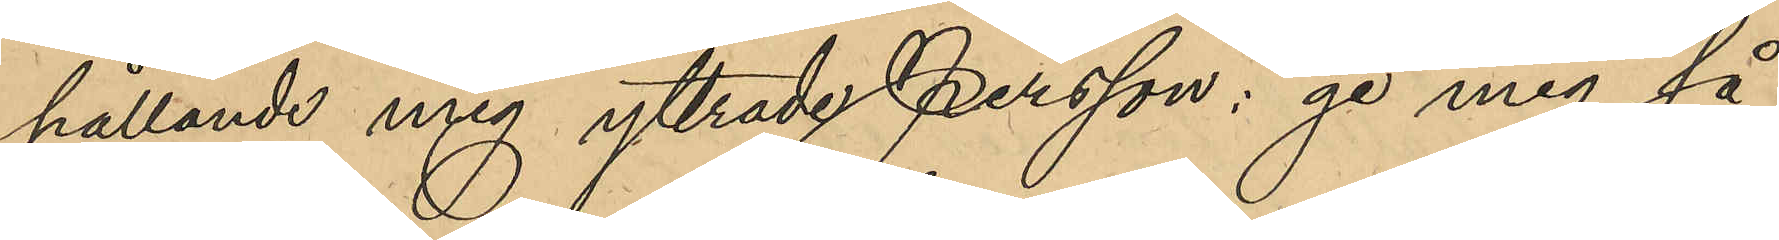hållande mig yttrade Persson: "ge mig så
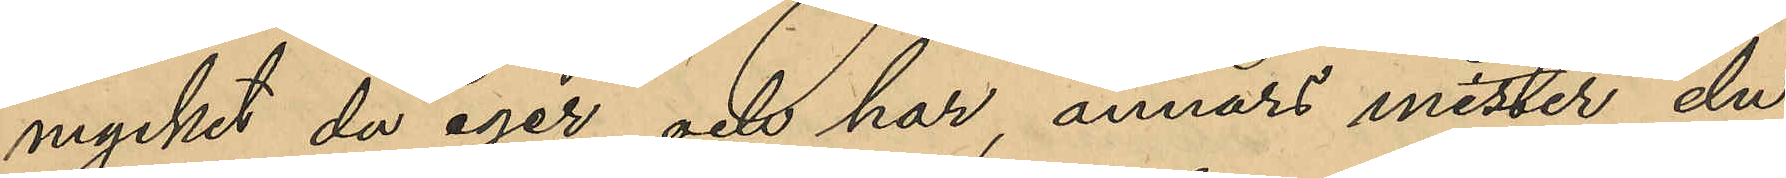mycket du eger och har, annars mister du
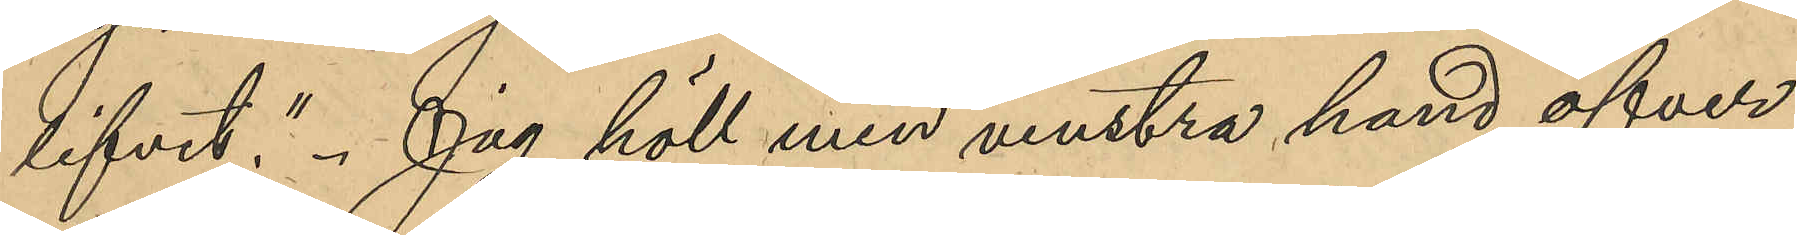lifvet". Jag höll min venstra hand öfver
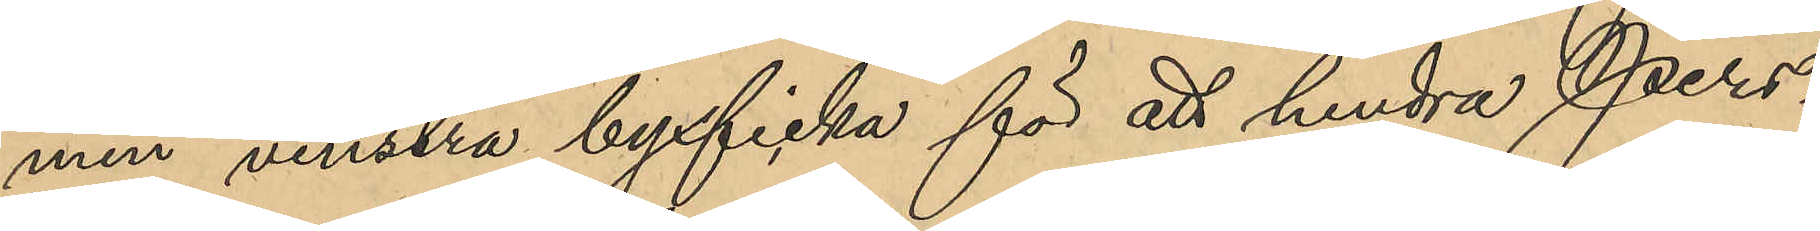min venstra byxficka för att hindra Pers¬
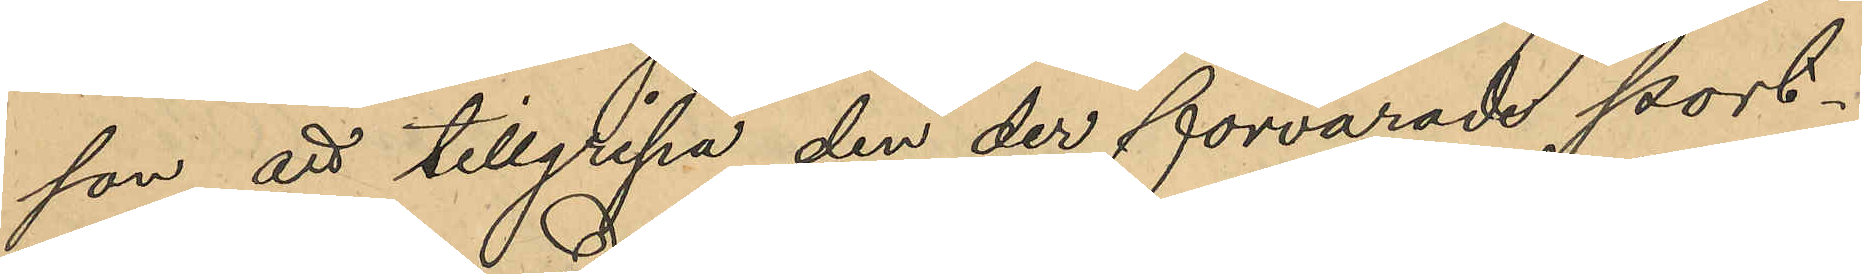son att tillgripa den der förvarade port¬
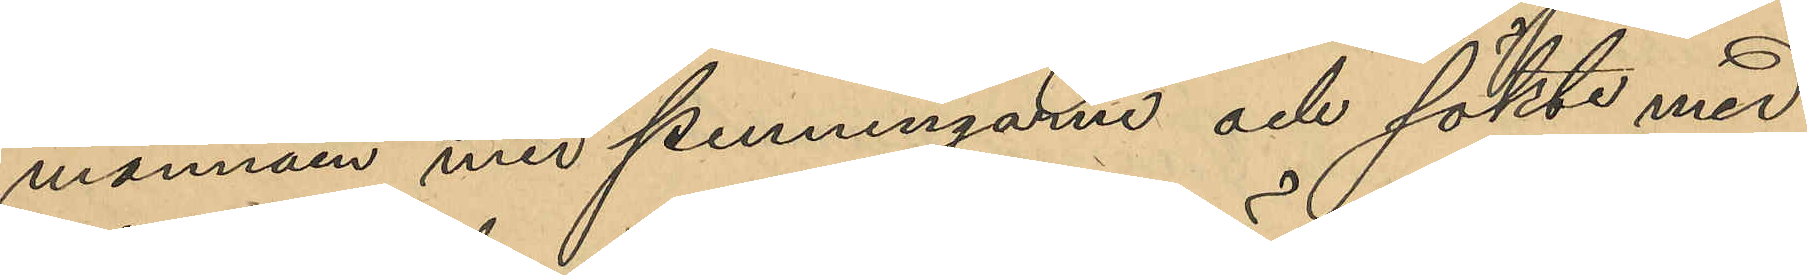monnän med penningar och sökte med
